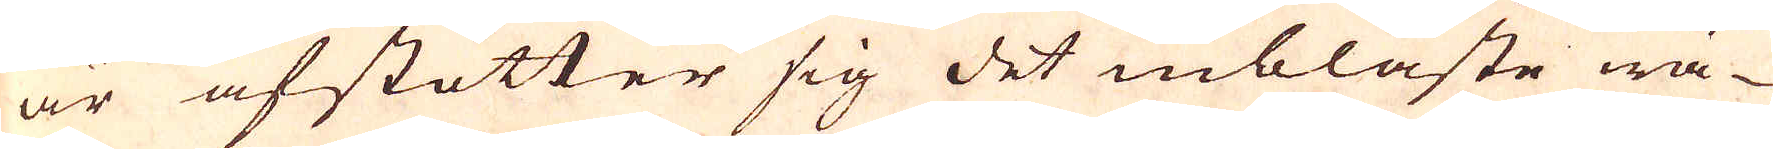är afstötter sig det inblåste wä-
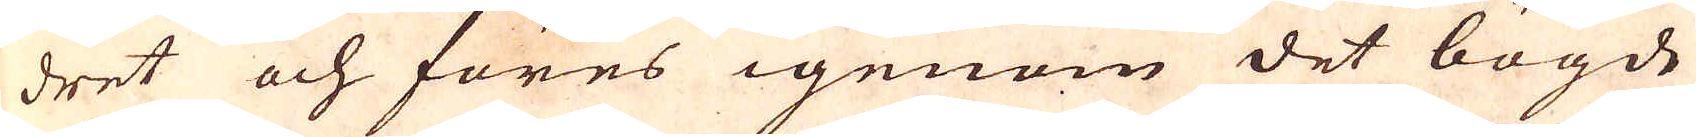dret och föres igenom det bögde
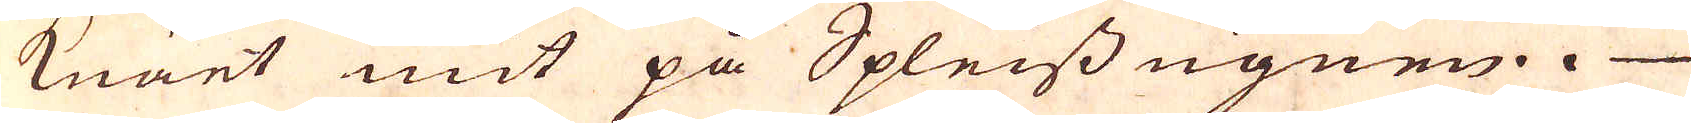Knäet mit på Spleiss ugnen.
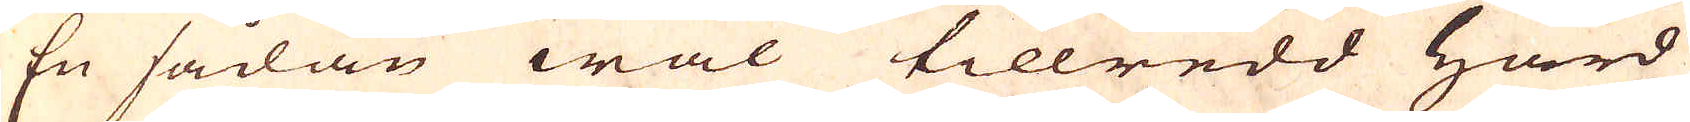En sådan wäl tillredd Härd
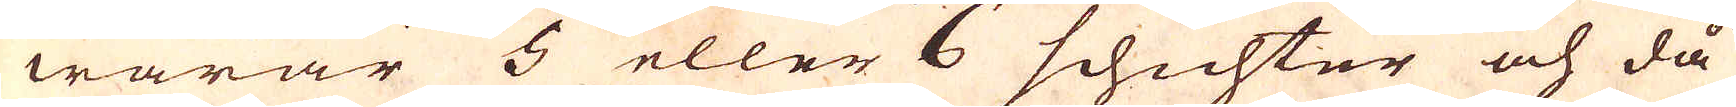warar 5 eller 6 schichter och då
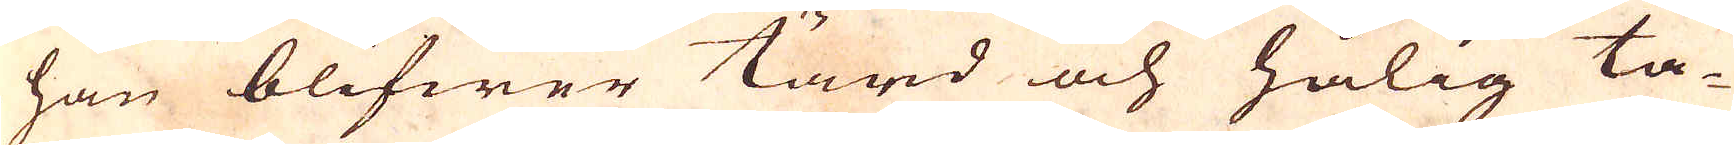han blifwer tärd och hålig ta-
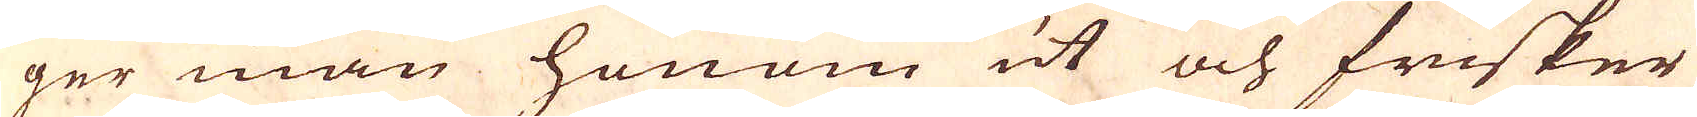ger man honom ut och frisker
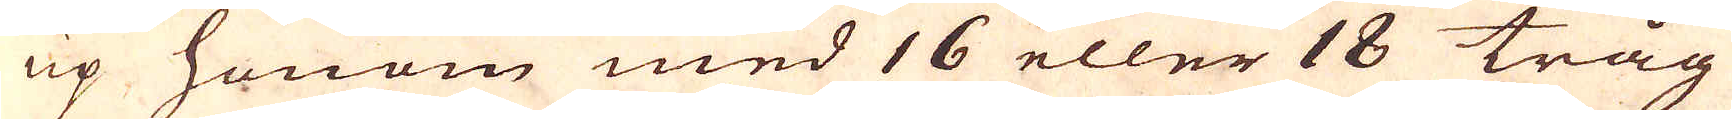up honom med 16 eller 18 tråg
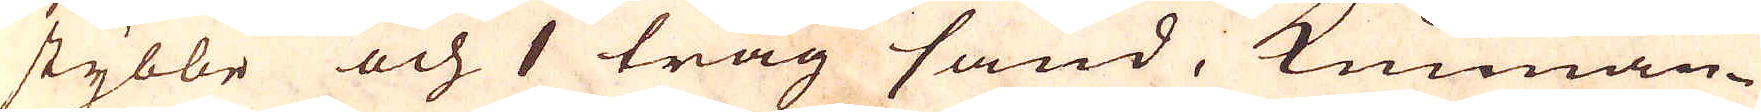stybbe och 1 tråg sand, kunnan-
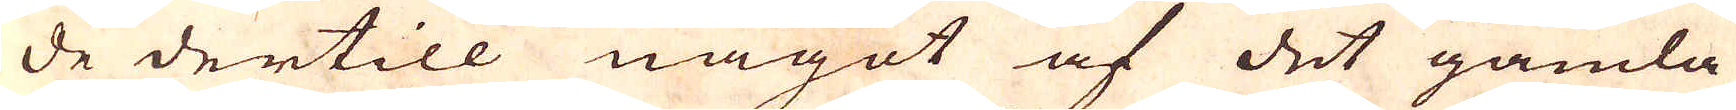de dertill något af det gamla
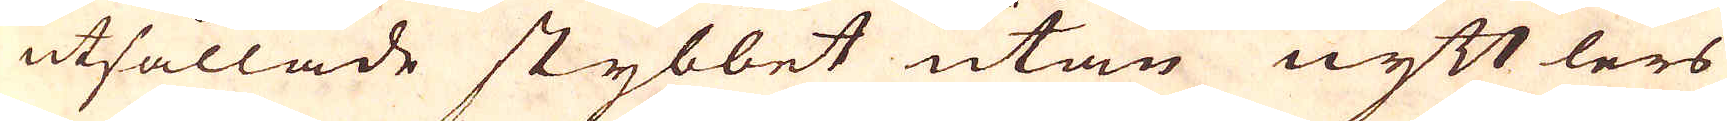utsållade stybbet utan nytt lers
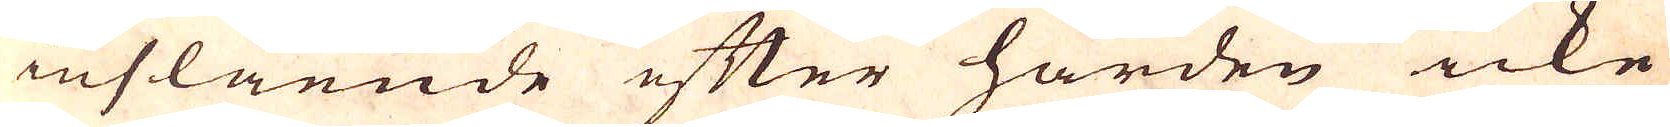inslående efter härden icke
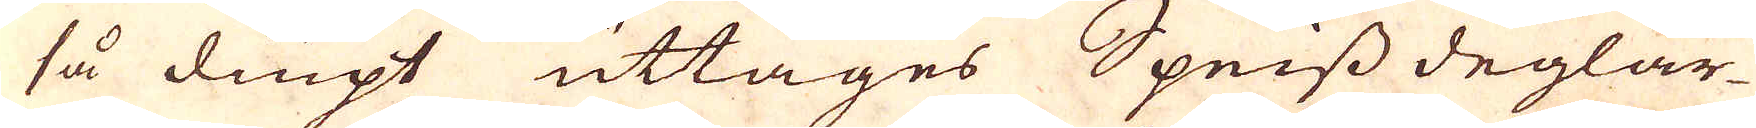så diupt uttages Speiss deglar-
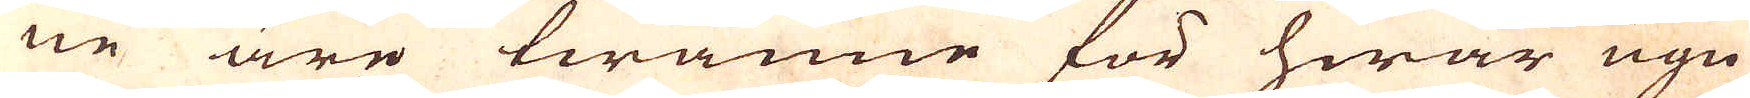ne äre twänne för hwar ugn
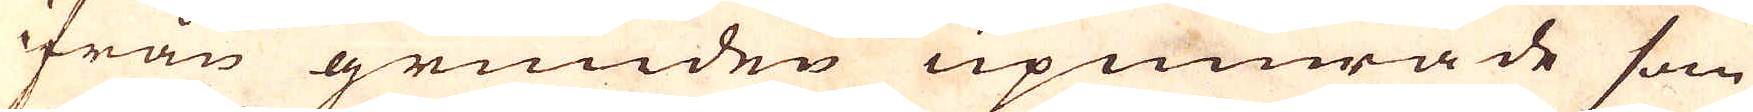ifrån grunden upmurade som
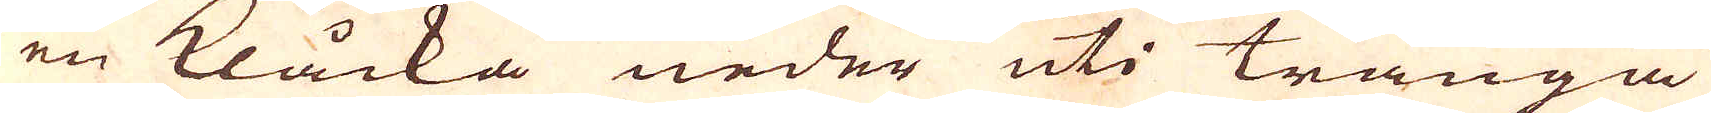en Klåcka neder uti trånga
